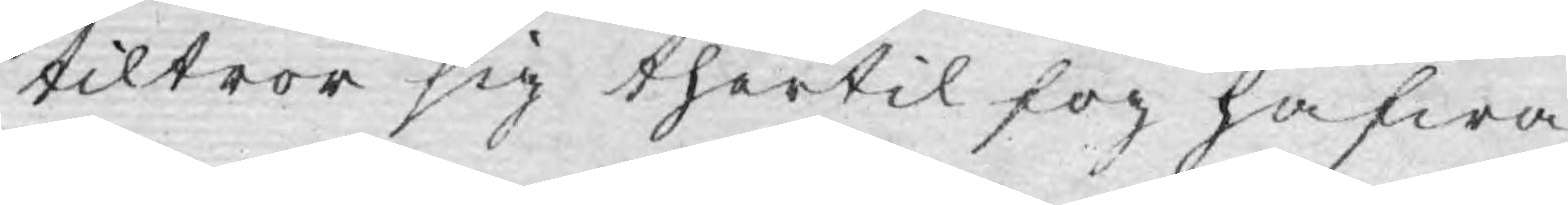tiltror sig thertil fog hafwa.
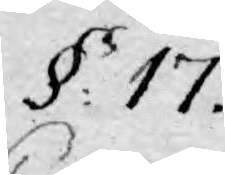§: 17.
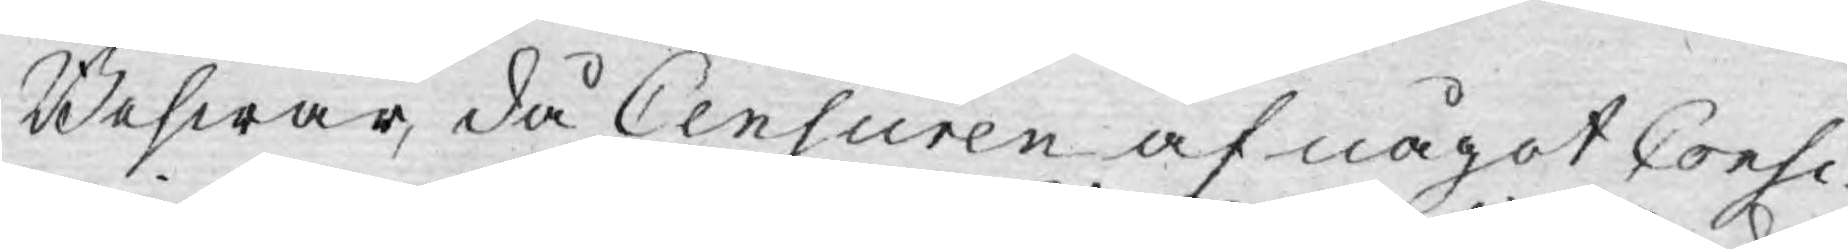Beswär, då Censuren af något Consi¬
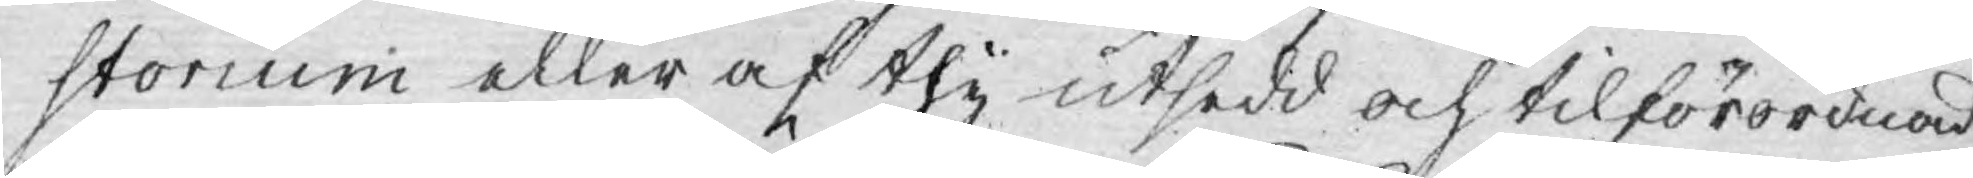storium eller af thy utsedd och tilförordnad
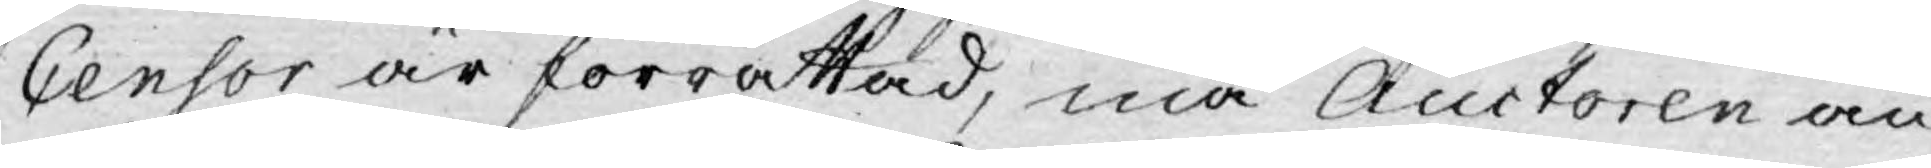Censor är förrättad, må Auctoren an¬
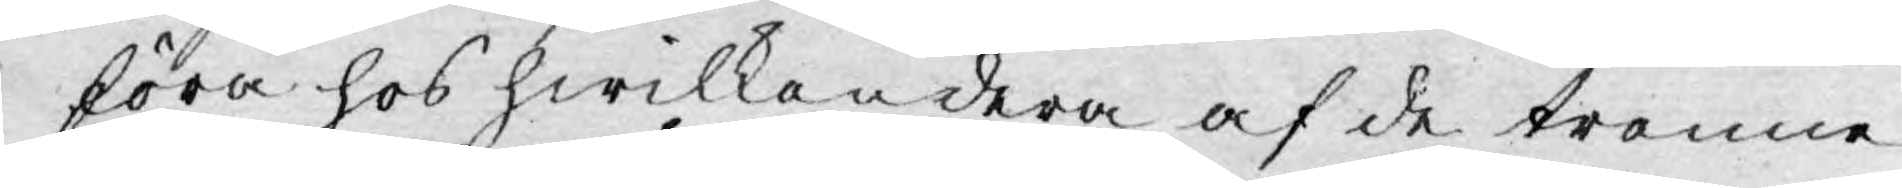föra hos hwilkandera af de trenne
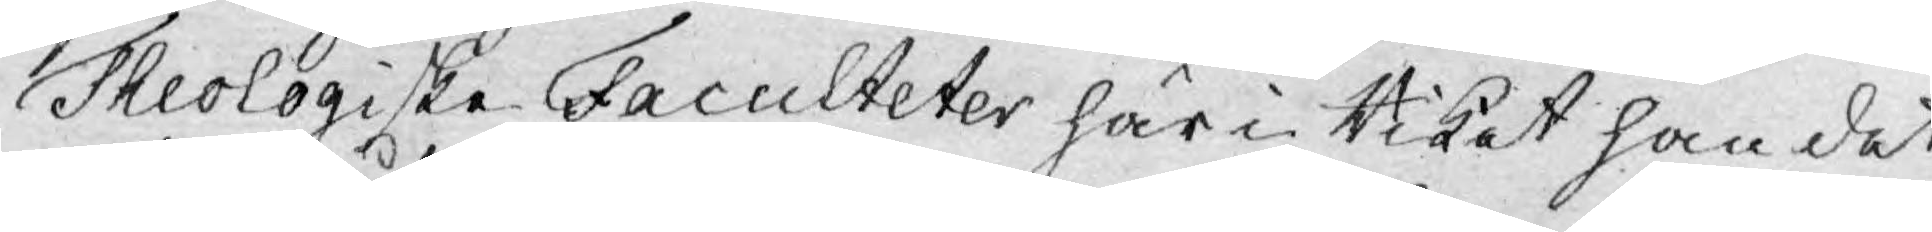Theologiske Faculteter här i Riket han det
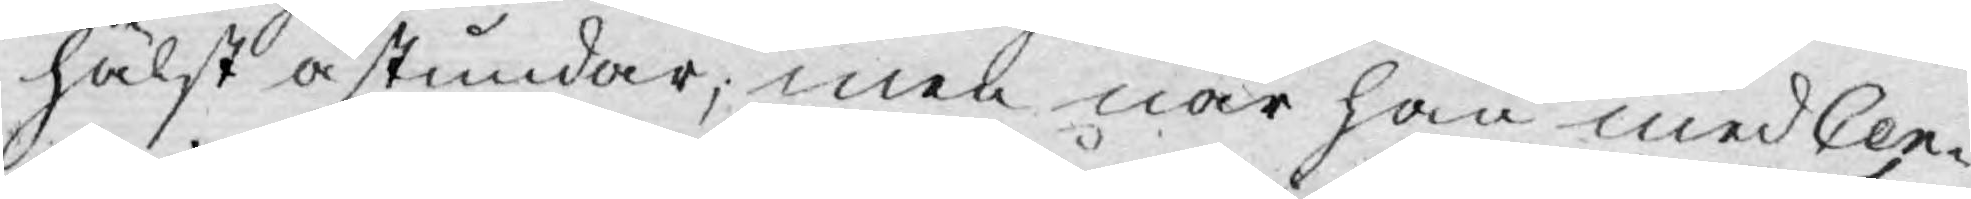hälst åstundar, men när han med Cen¬
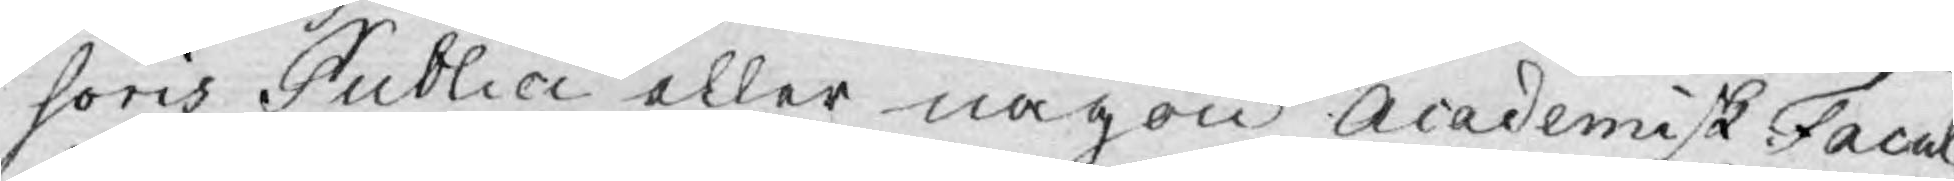soris Publici eller någon Academisk Facul¬
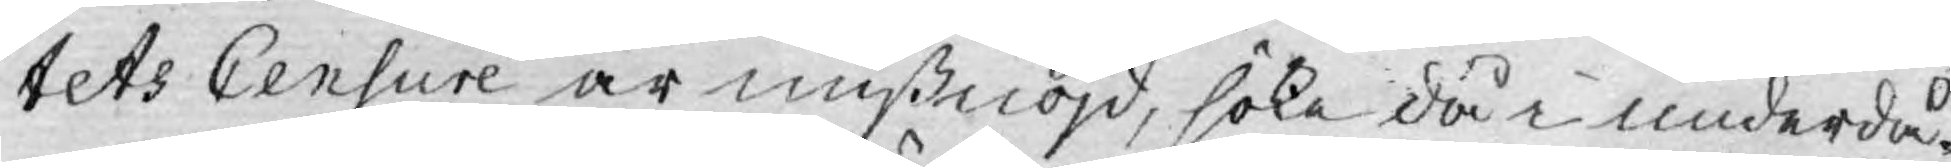tets Censure är mißnöjd, söke då i underdå¬
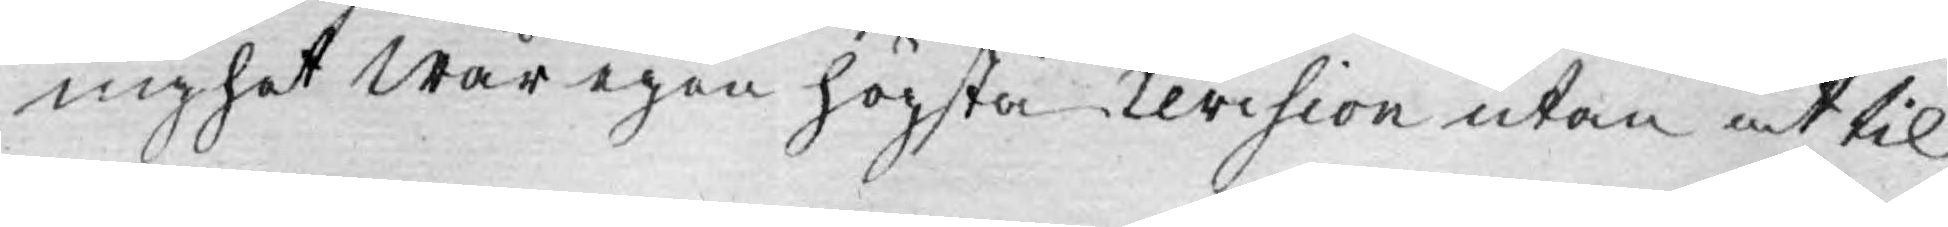nighet Wår egen högsta revision utan at til
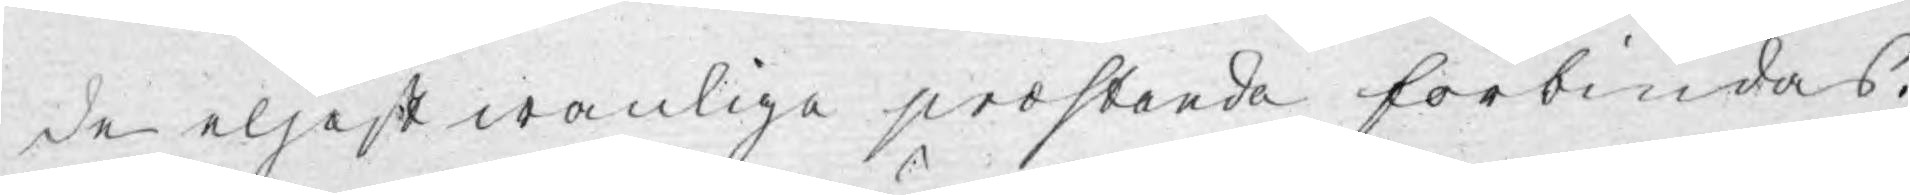de eljest wanliga prostanda förbiudas.
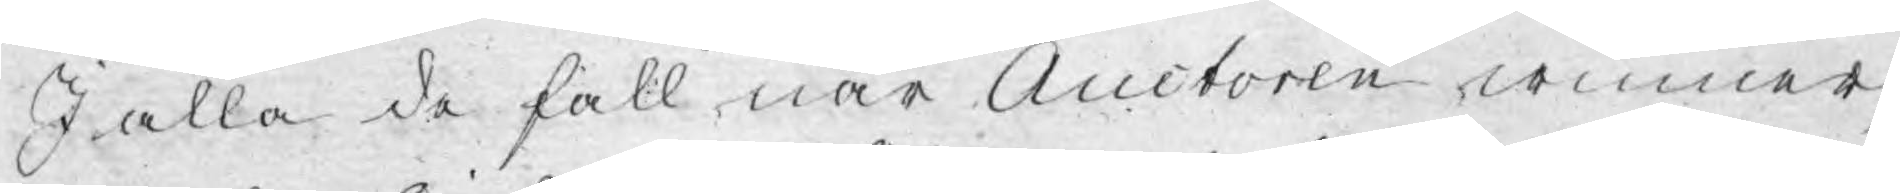I alla de fall när Auctoren winner,
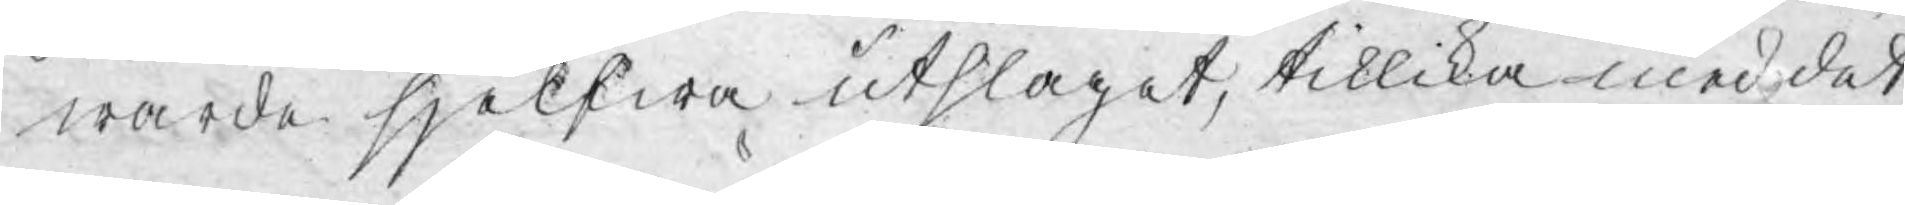warde sjelfwa utslaget, tillika med det
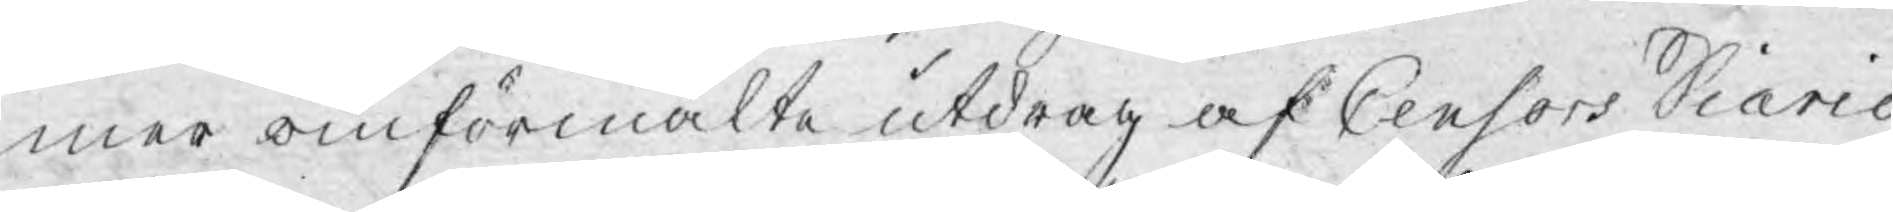mer omförmälte utdrag af Censors Diario
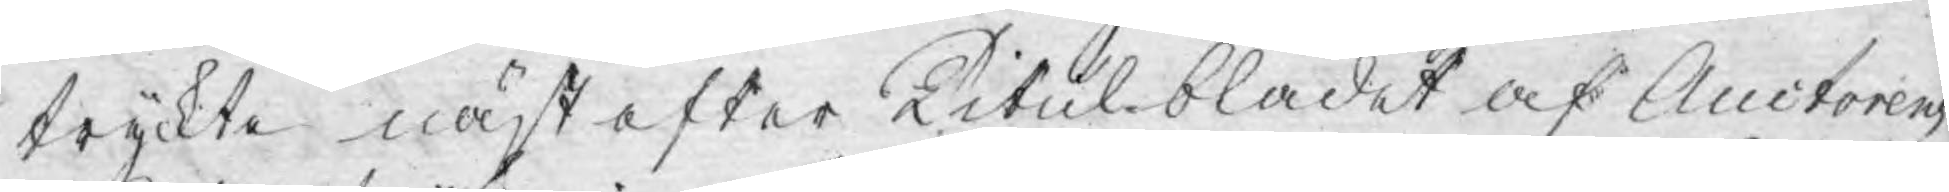tryckte näst efter Titulbladet af Auctorens
